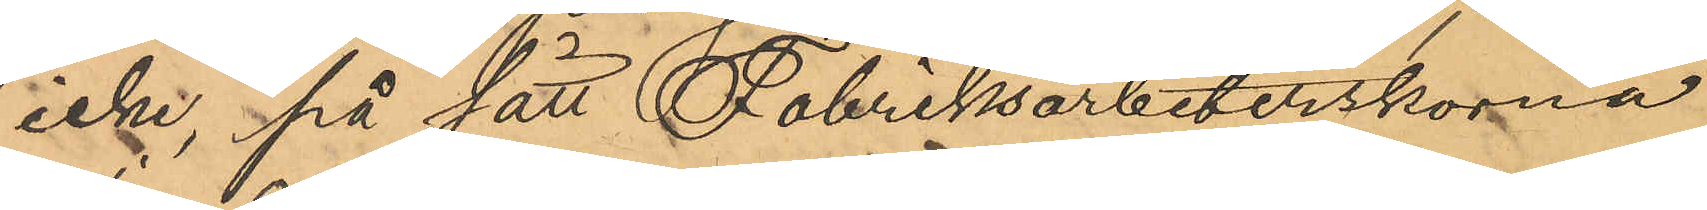icke, på sätt Fabriksarbeterskorna
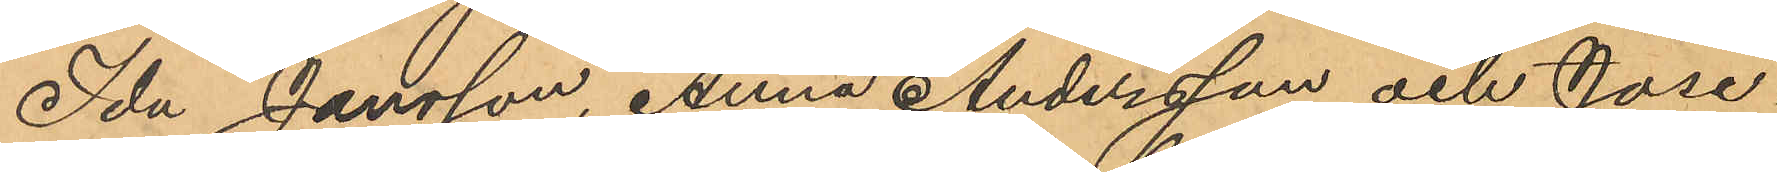Ida Jansson, Anna Andersson och Jose¬
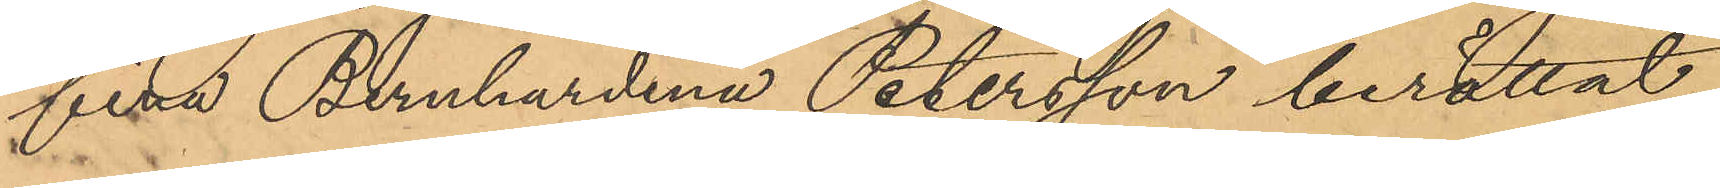fina Bernhardina Petersson berättat,
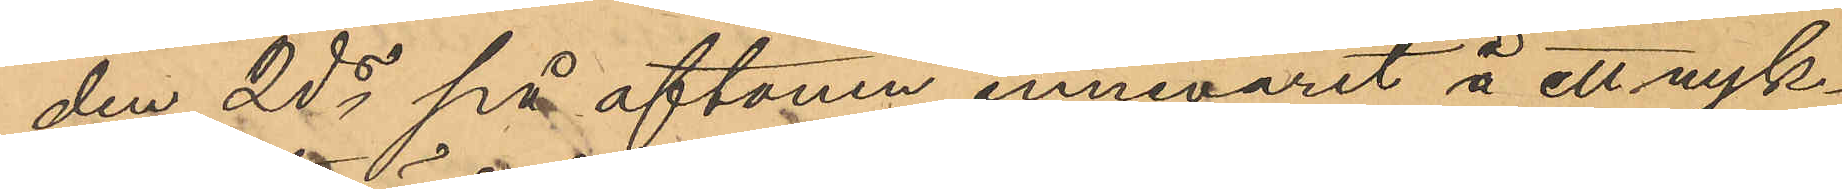den 2ds på aftonen innevarit å ett nyk¬
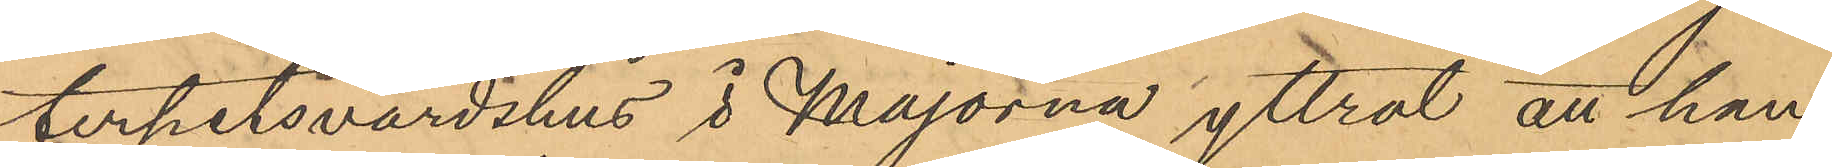terhetsvärdshus i Majorna yttrat att han
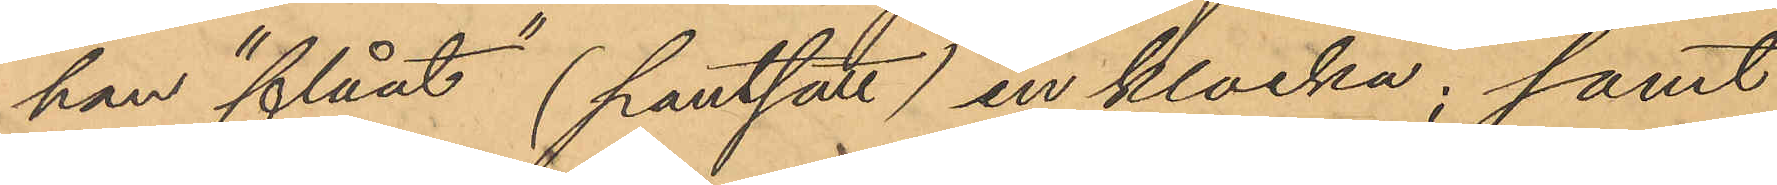han "flåat" (pantsatt) en klocka; samt
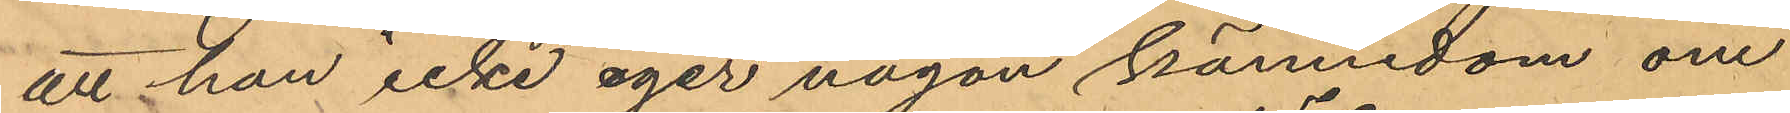att han icke eger någon kännedom om
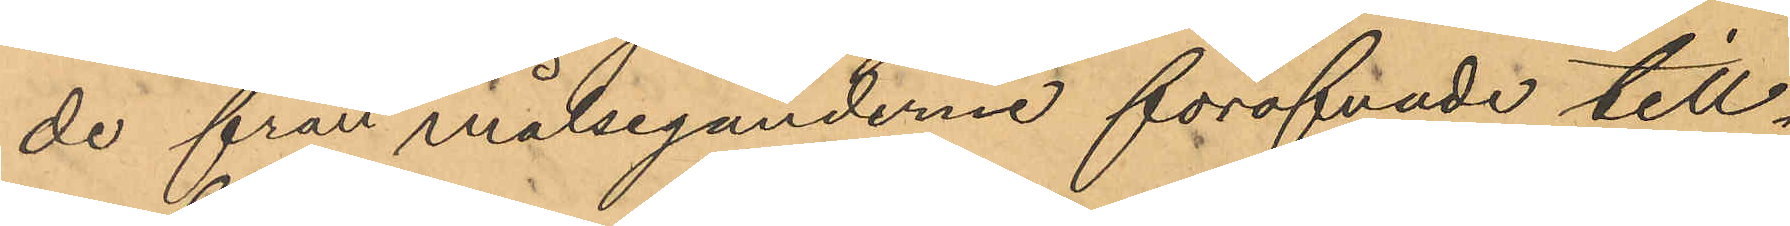de från målseganderne föröfvade till¬
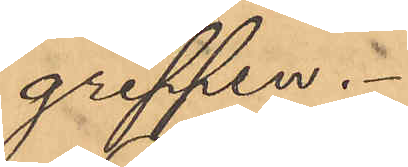greppen.
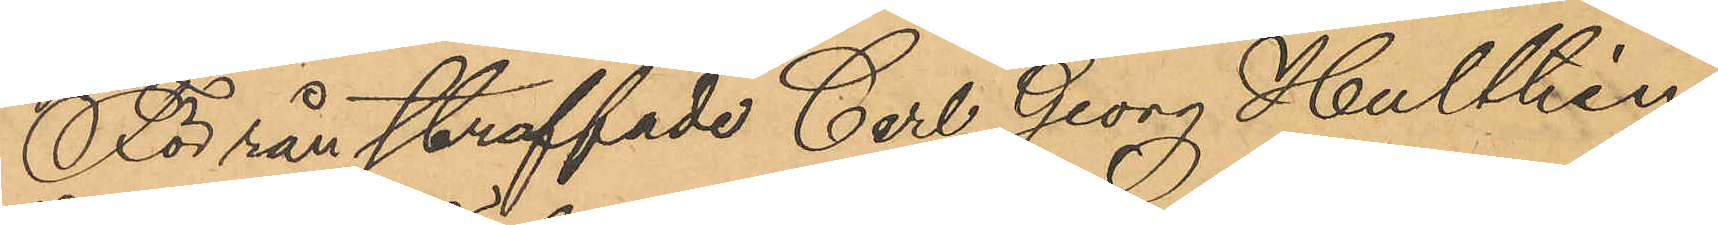För rån straffade Carl Georg Hulthén
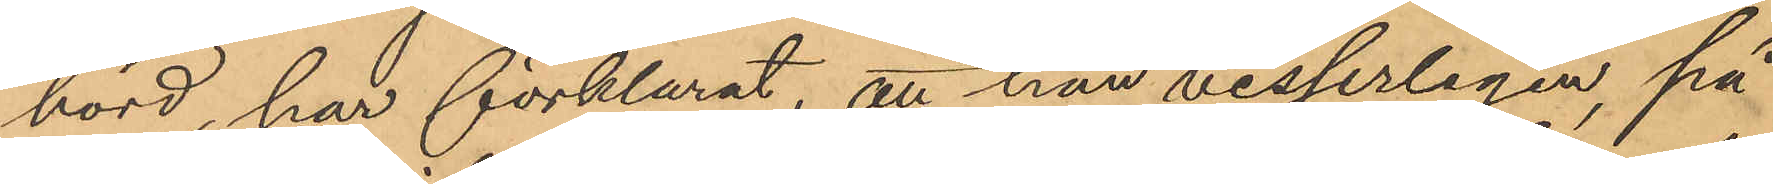hörd, har förklarat, att han visserligen, på
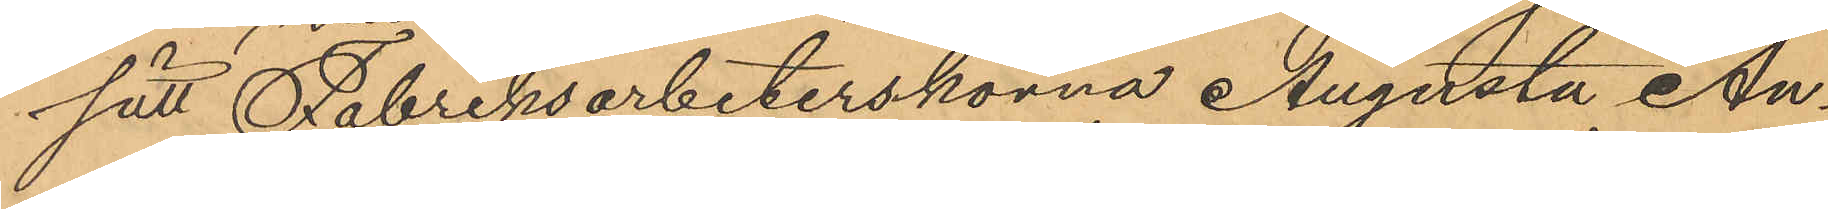sätt Fabriksarbeterskonna Augusta An¬
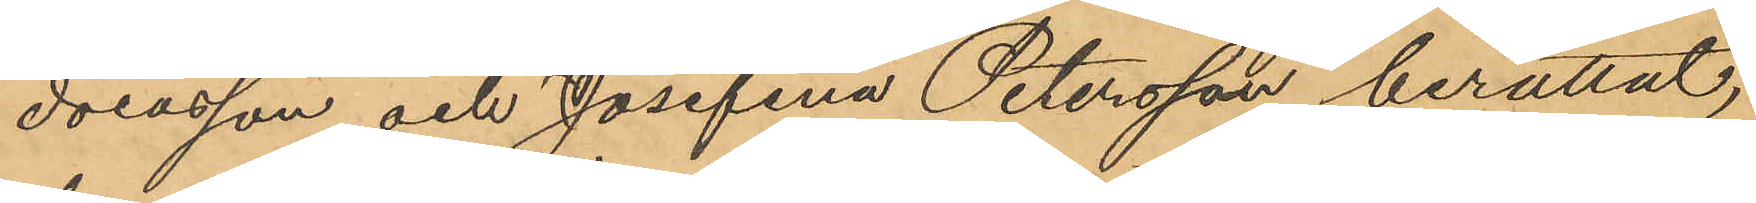dersson och Josefina Petersson berättat,
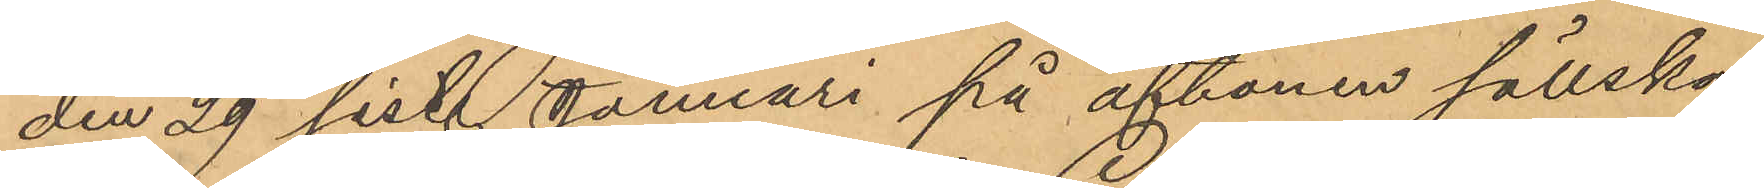den 29 sist. Januari på aftonen sällska¬
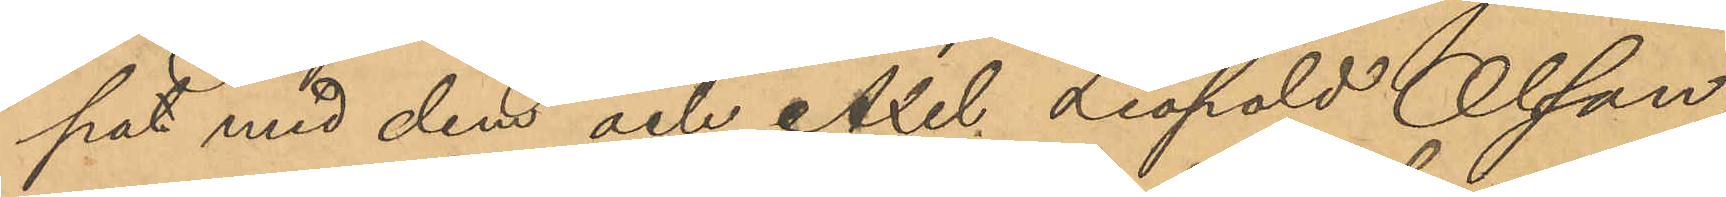pat med dem och Axel Leopold Olsson,
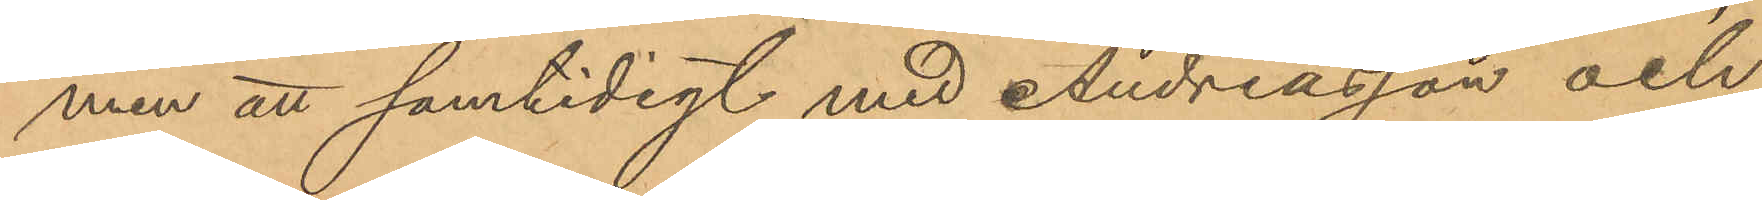men att samtidigt med Andreasson och
